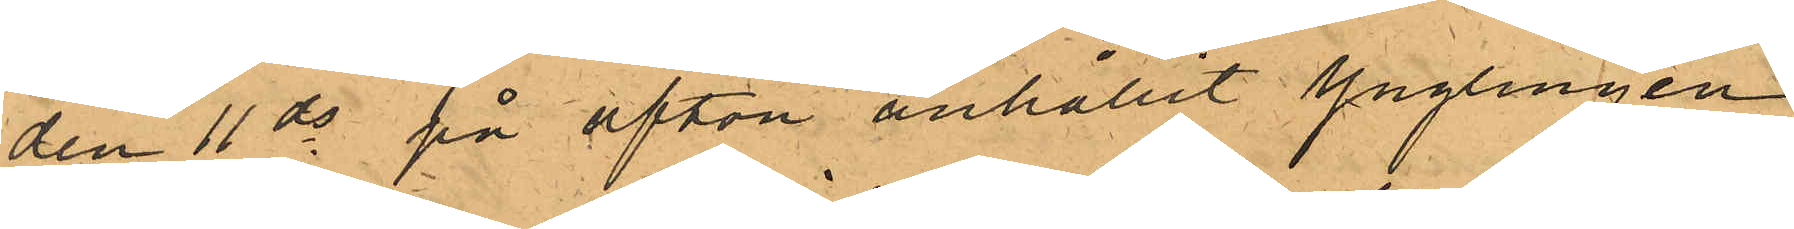den 11 ds på afton anhållit Ynglingen
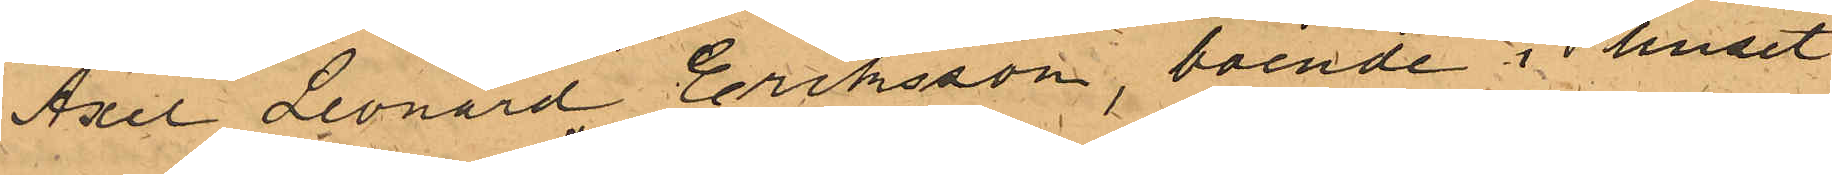Axel Leonard Eriksson, boende i huset
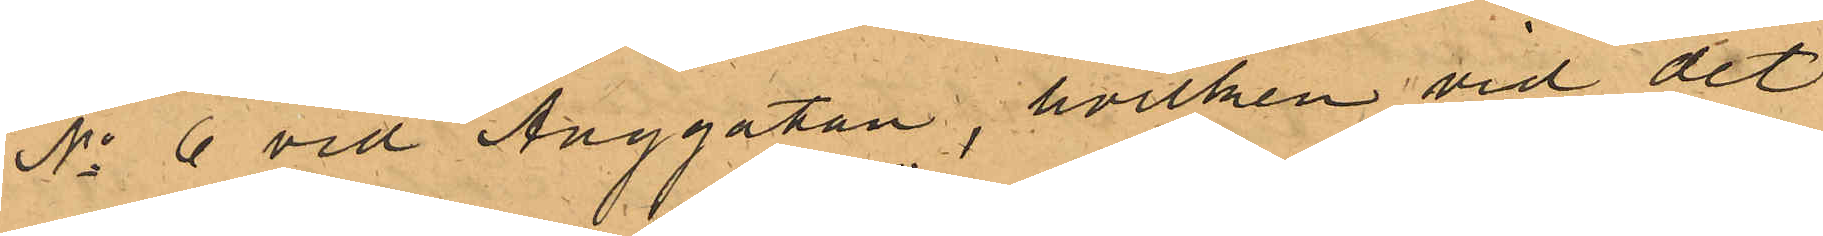No 6 vid Änggatan, hvilken vid det
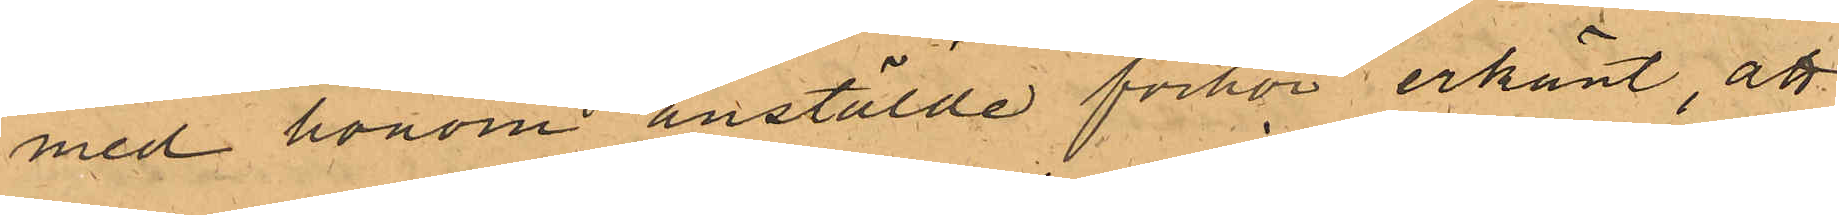med honom anstälde förhör erkänt, att
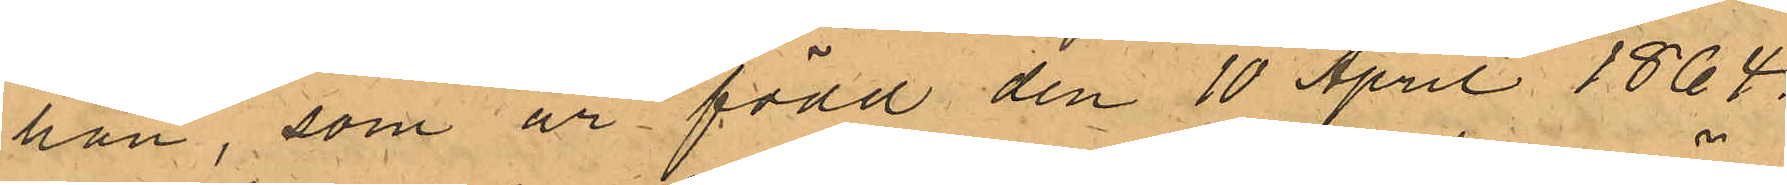han, som är född den 10 April 1864,
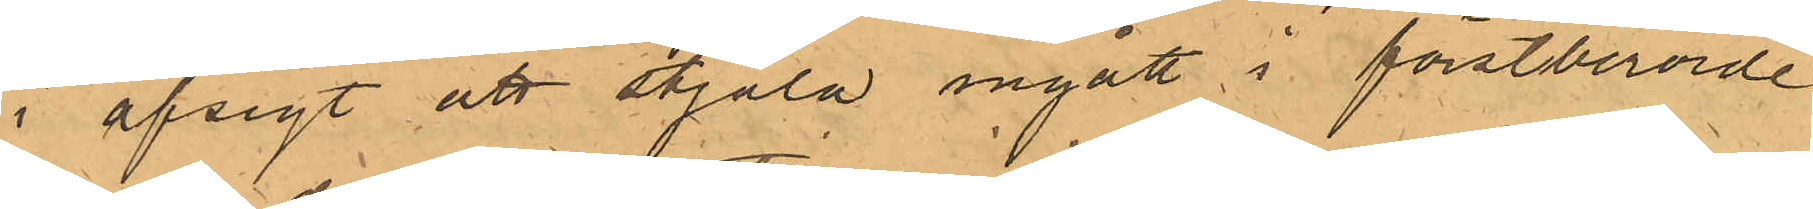i afsigt att stjäla ingått i förstberörde
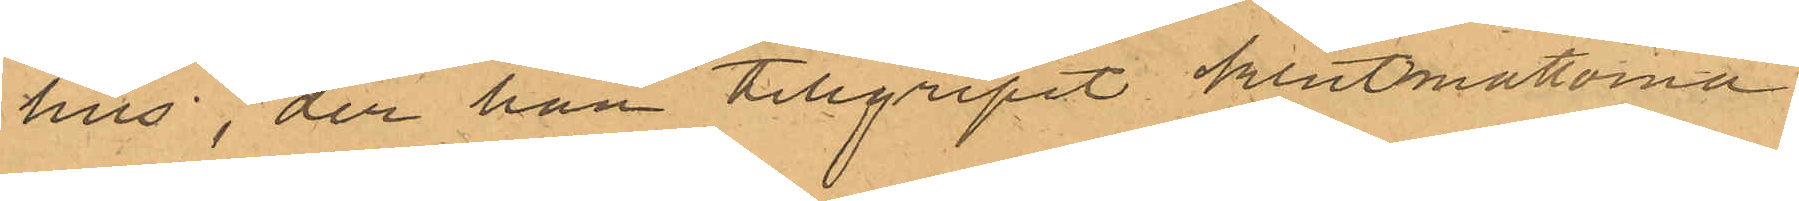hus, der han tillgripit klutmattorna
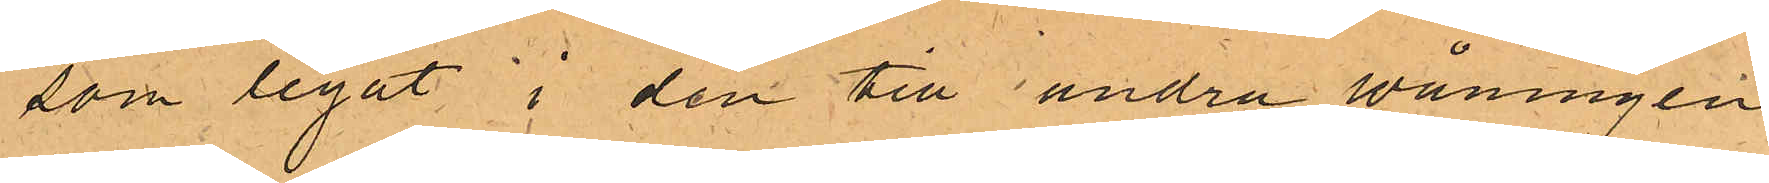som legat i den till andra våningen
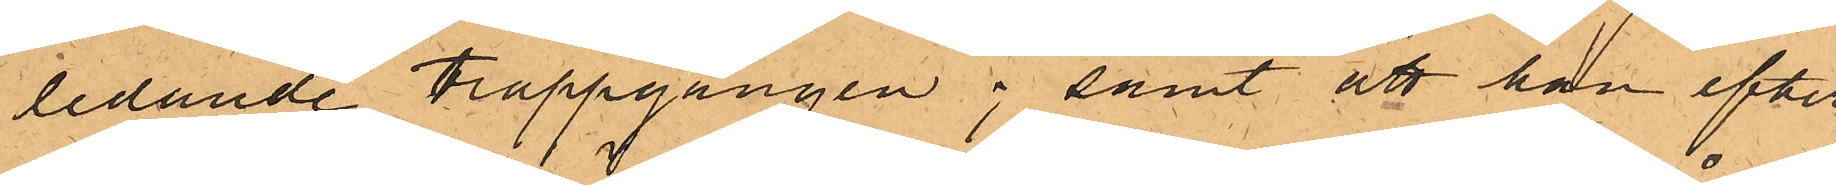ledande trappgången; samt att han efter
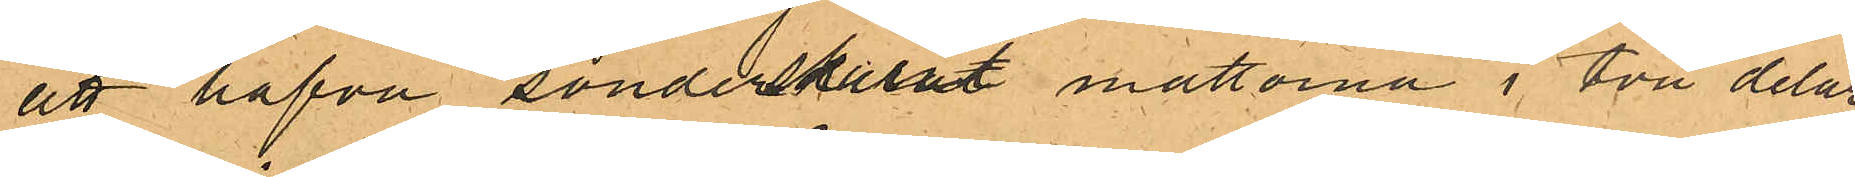att hafva sönderskurit mattorna i två delar
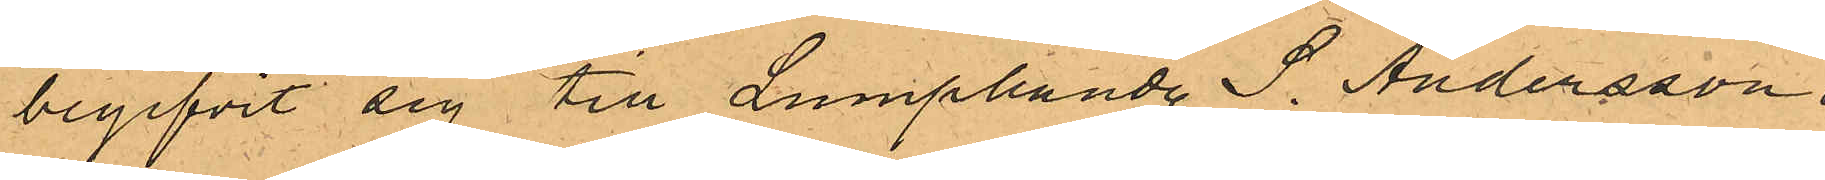begifvit sig till Lumphandl. S. Andersson i
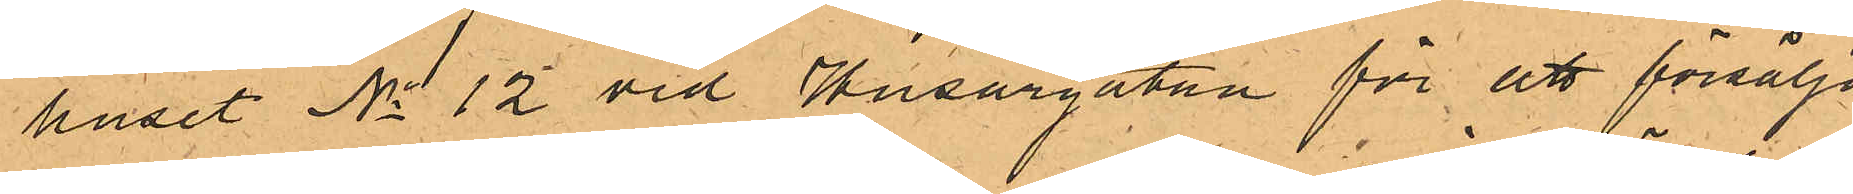huset No 12 vid Husargatan för att försälja
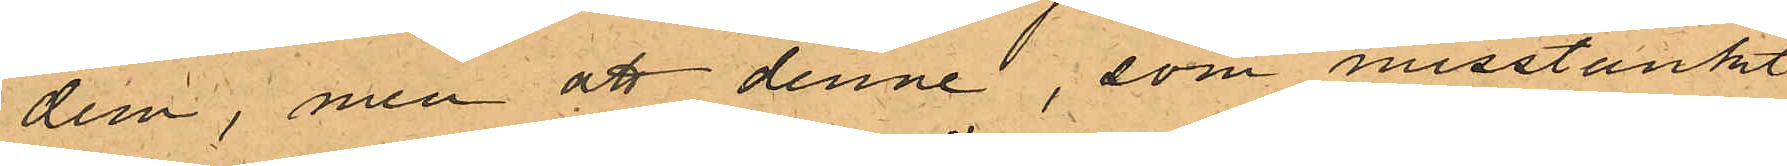dem, men att denne, som misstänkt
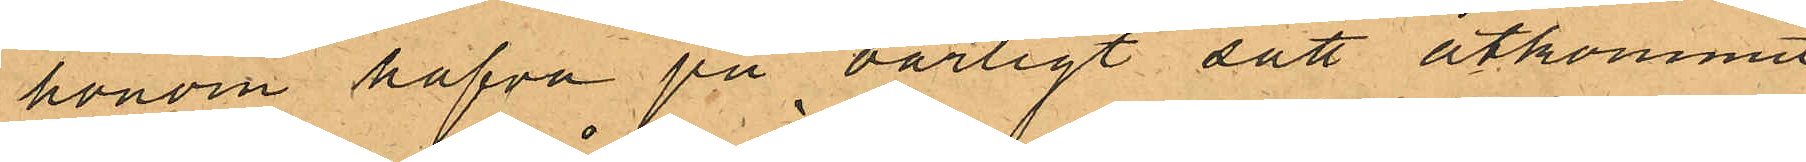honom hafva på oärligt sätt åtkommit
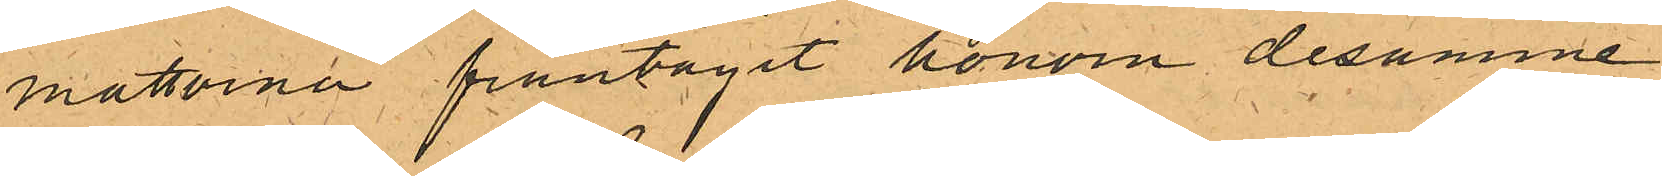mattorna fråntagit honom desamme.
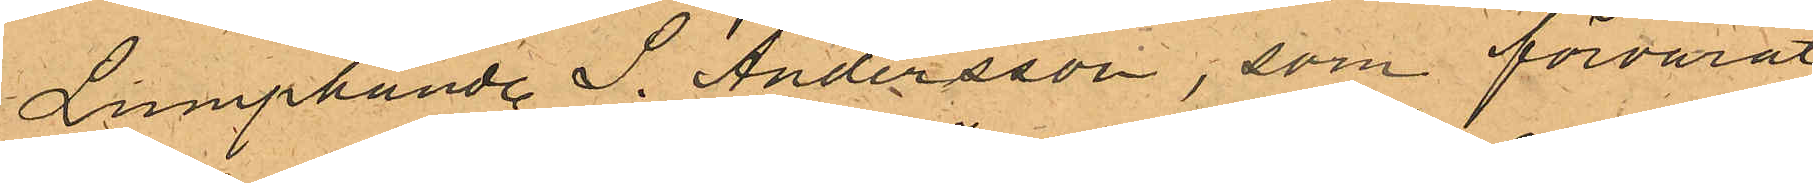Lumphandl. S. Andersson, som förvarat
